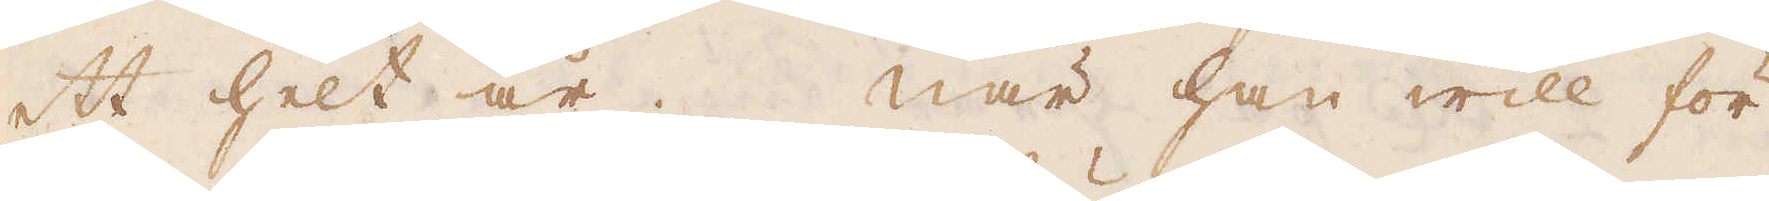ett helt år. När han will för
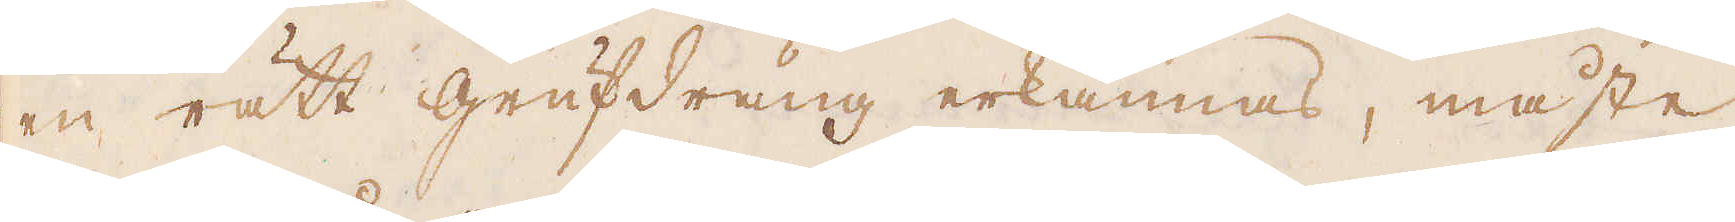en rätt grufdräng erkännas, måste
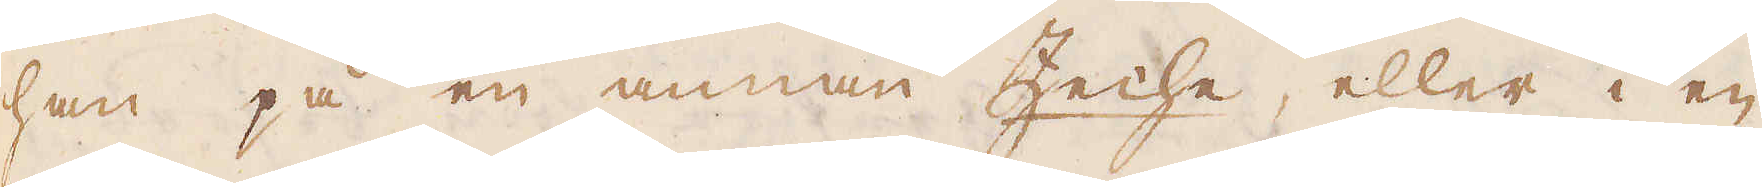han på en annan Zeche, eller i en
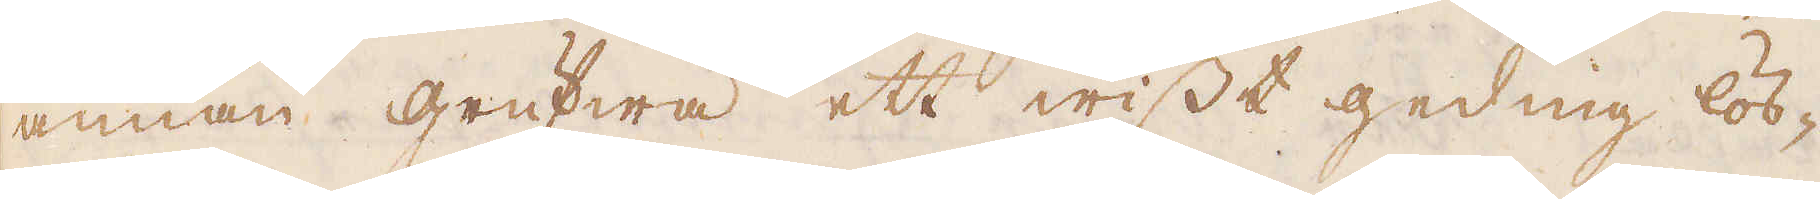annan grufwa ett wisst geding lös-
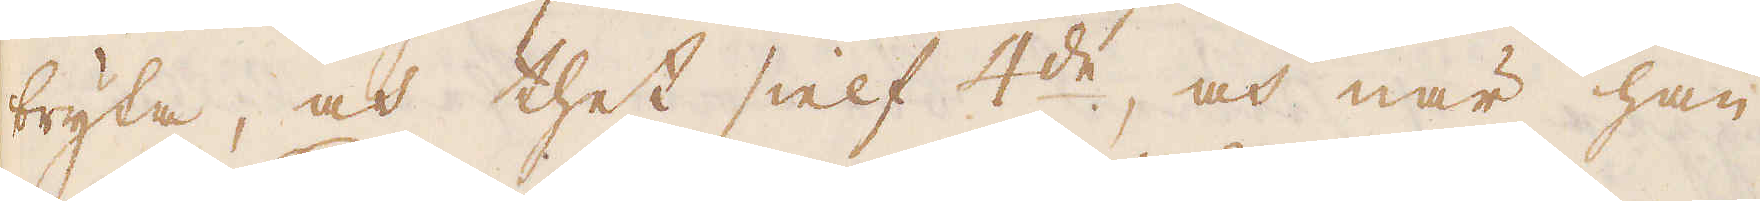bryta, och thet sielf 4:de, och när han
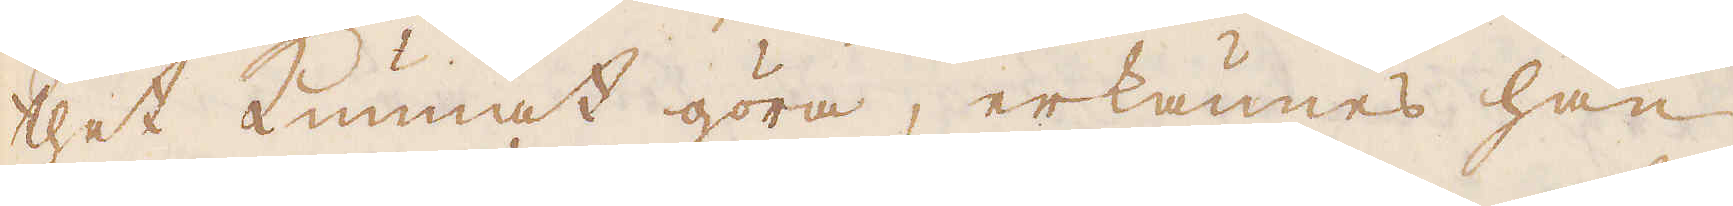thet kunnat göra, erkännes han
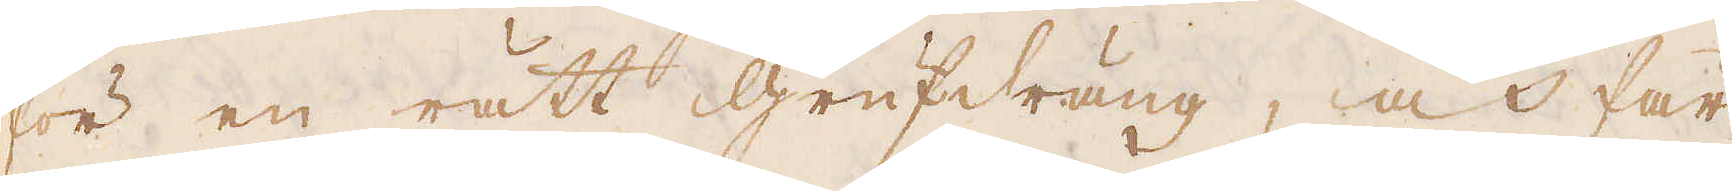för en rätt grufdräng, och får
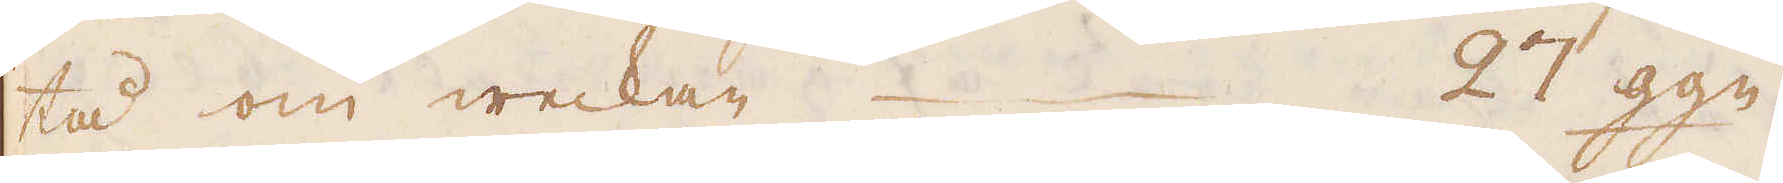tå om weckan – – 27 ggn.
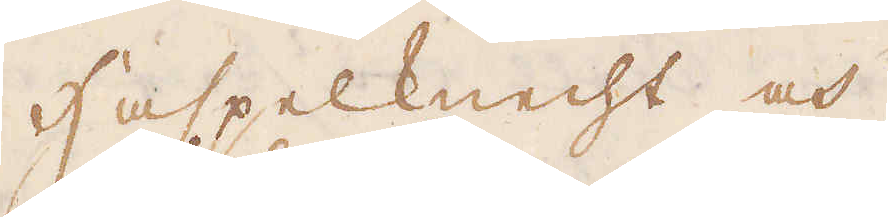Haspelknecht och
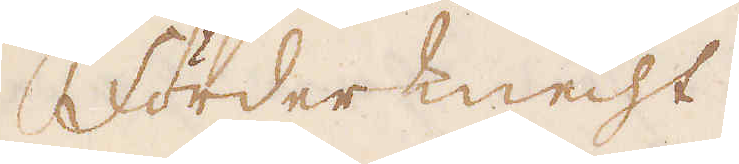förderknecht
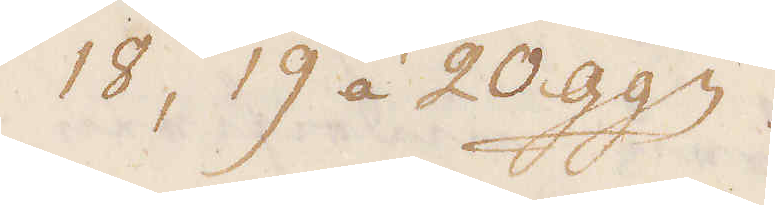18, 19 á 20 ggn.
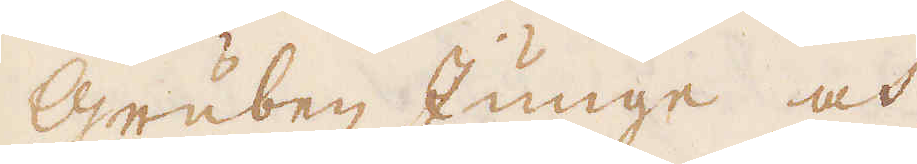Gruben Junge och
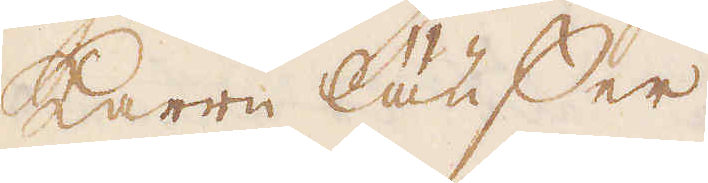karrn läuffer
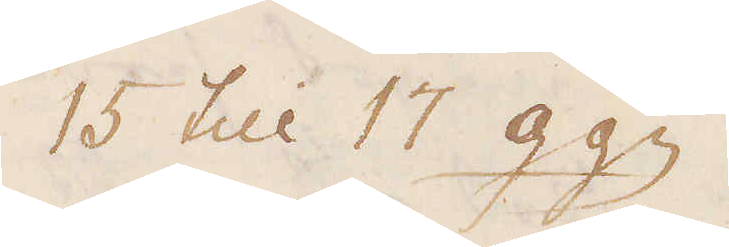15 till 17 ggn.
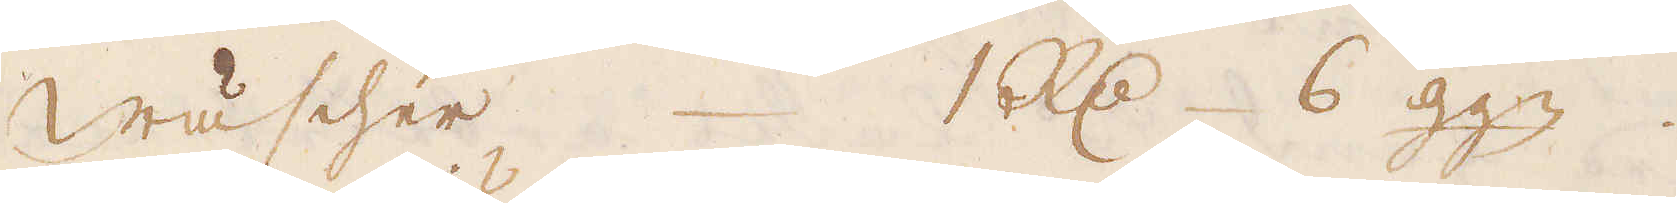Wäscher 1 R:dr 6 ggn.
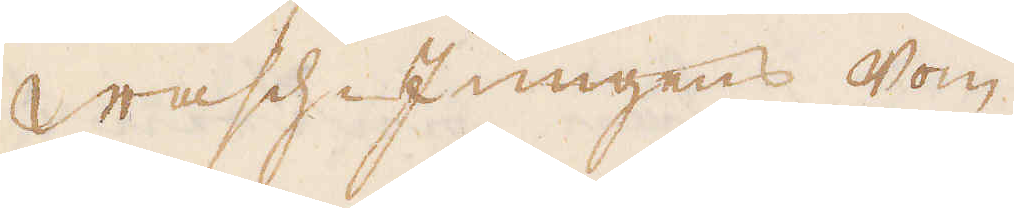Wasch-Jungens Som
